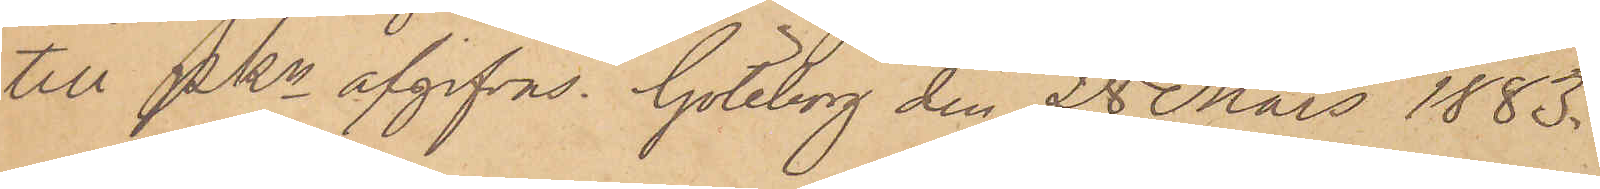till Pkn afgifvas. Göteborg den 28 Mars 1883.
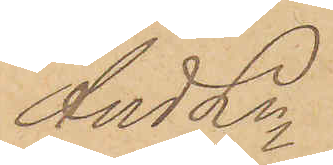And Ln
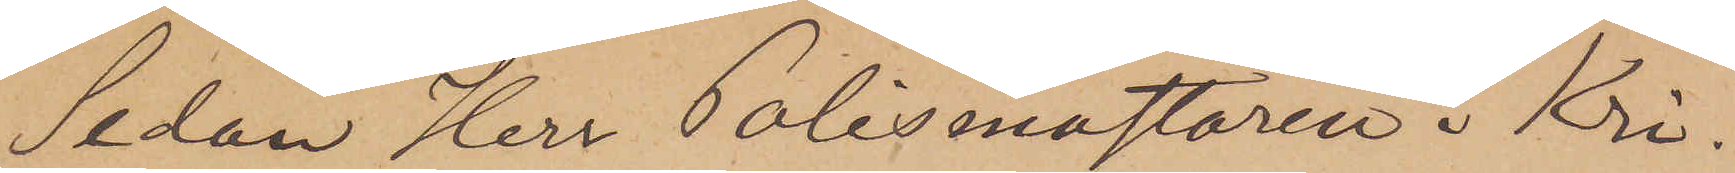Sedan Herr Polismästaren i Kri¬
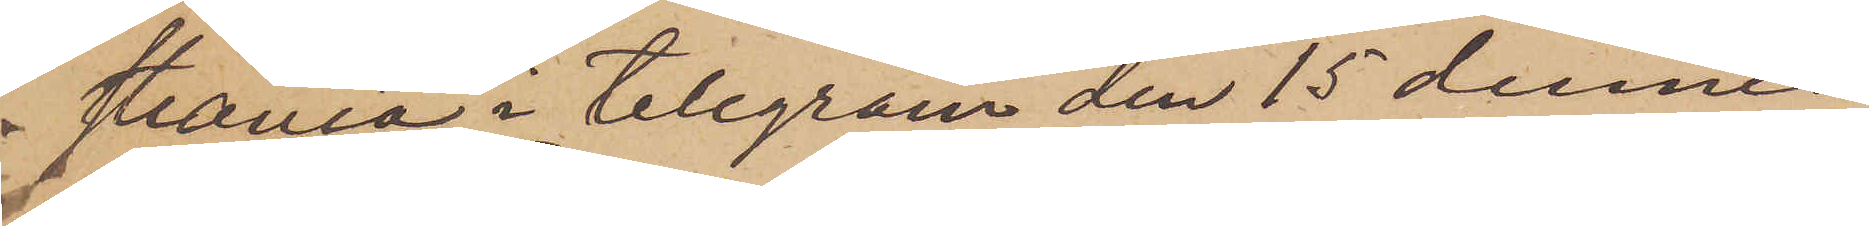stiania i telegram den 15 dennes
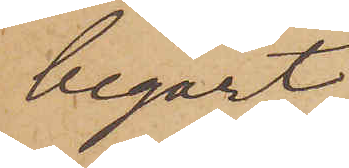begärt
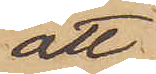att
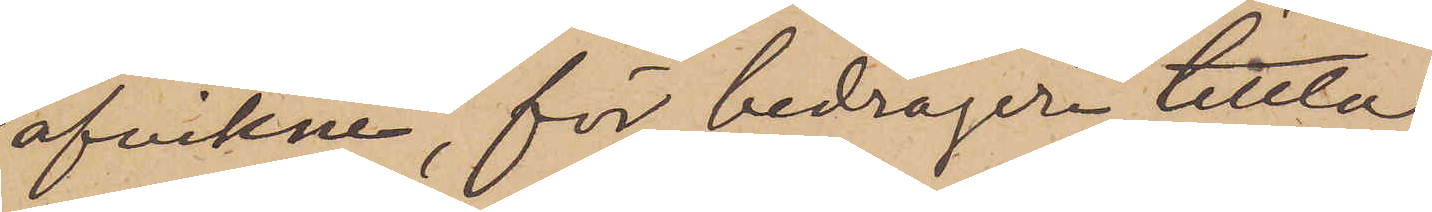afvikne, för bedrägeri tillta¬
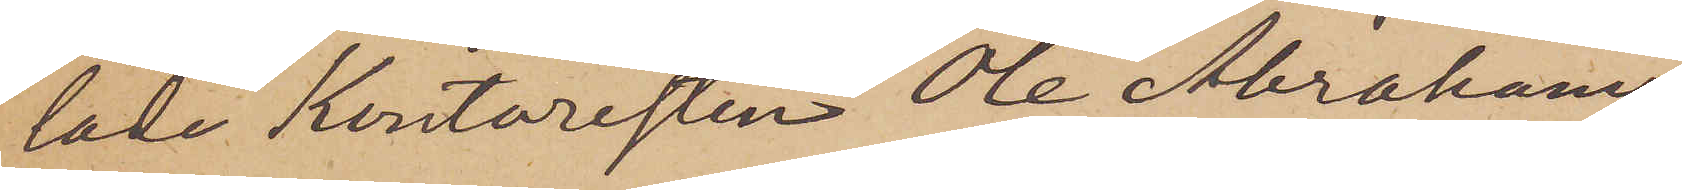lade kontoristen Ole Abrahams¬
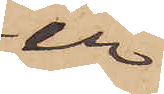en
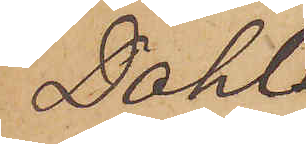Dahl
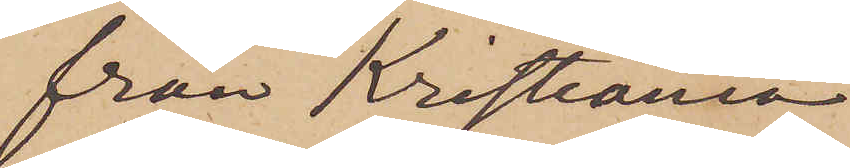från Kristiania
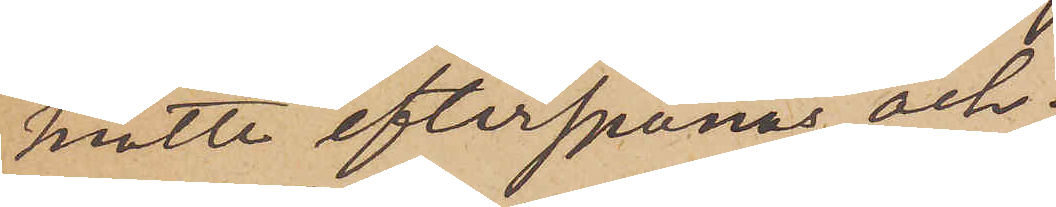måtte efterspanas och
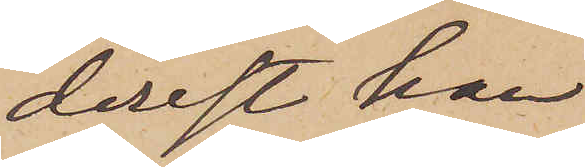derest han
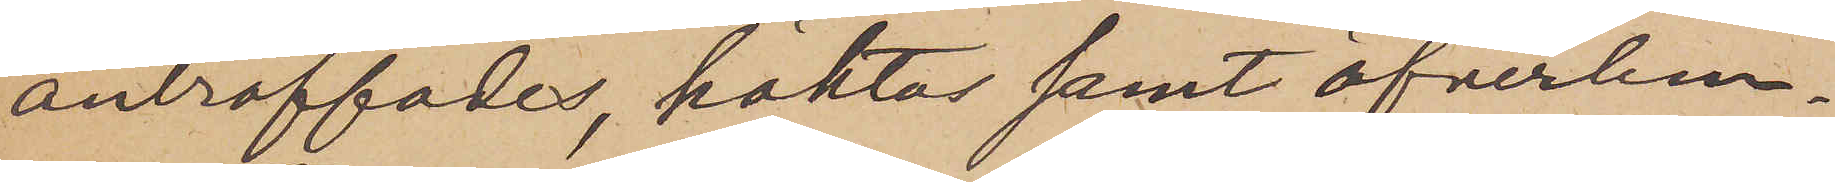anträffades, häktas samt öfverlem¬
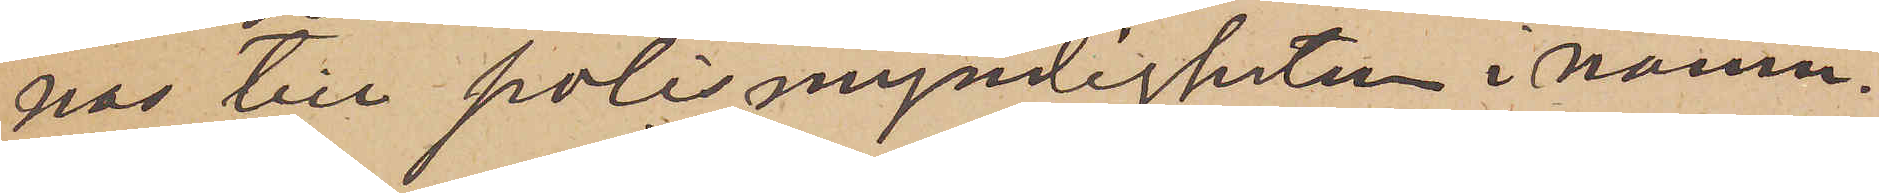nas till polismyndigheten i nämn¬
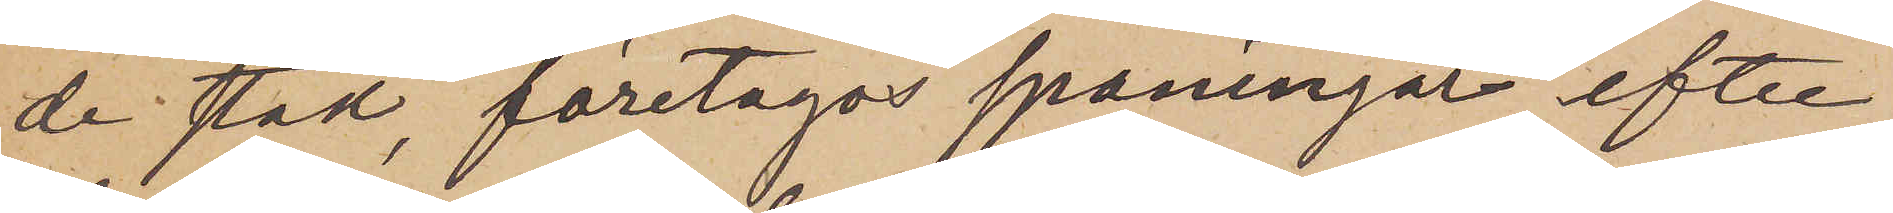de stad, företagas spaningar efter
